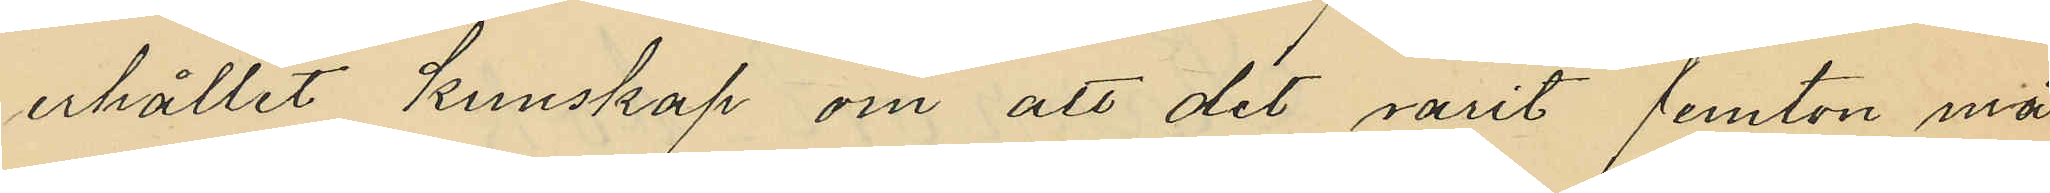erhållit kunskap om att det varit femton må¬
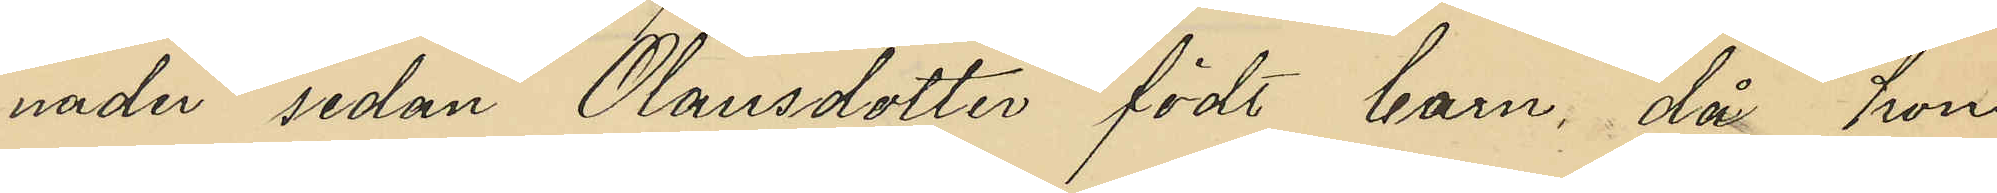nader sedan Olausdotter födt barn, då hon
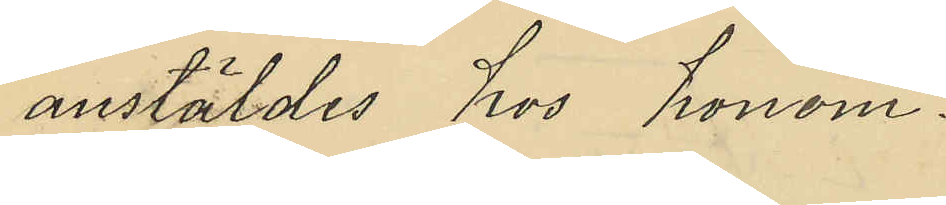anstäldes hos honom.
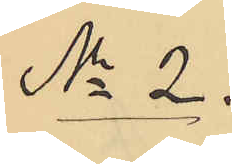No 2.
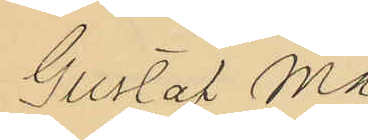Gustaf Ma¬
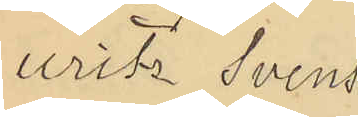uritz Svens¬
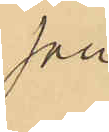son.
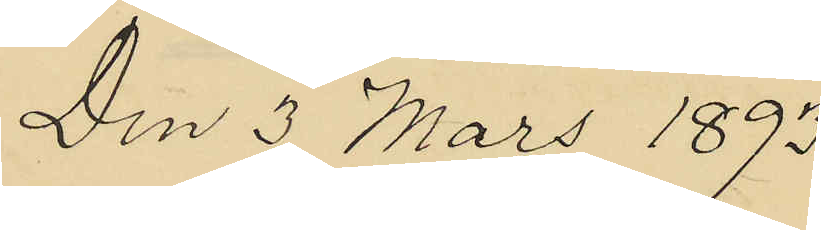Den 3 Mars 1893
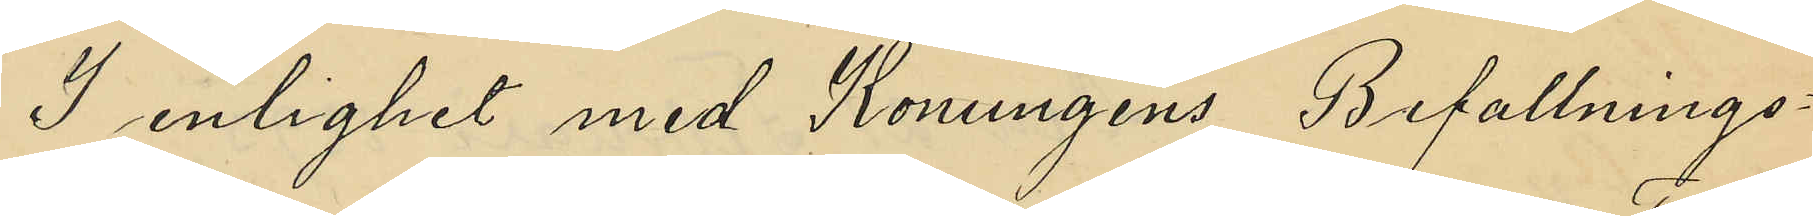I enlighet med Konungens befallnings¬
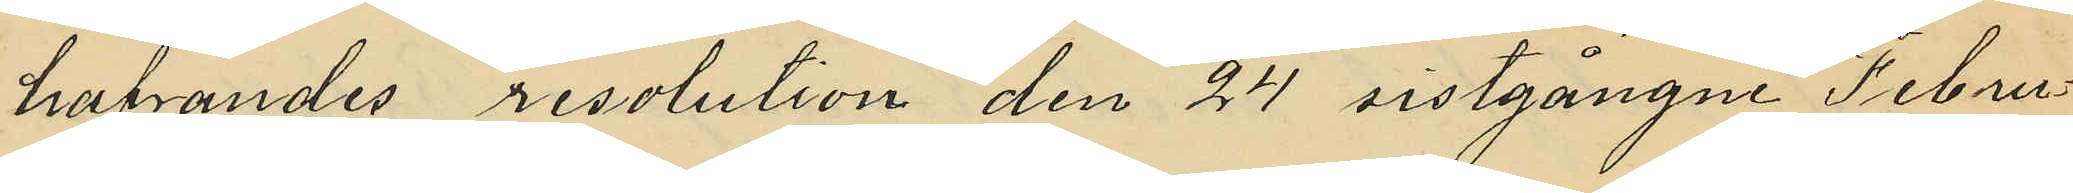hafvandes resolution den 24 sistgångne Febru¬
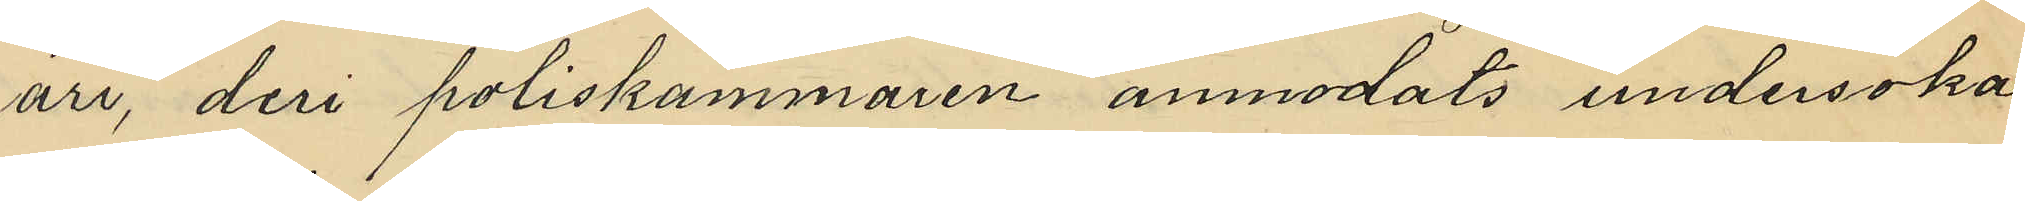ari, deri poliskammaren anmodats undersöka
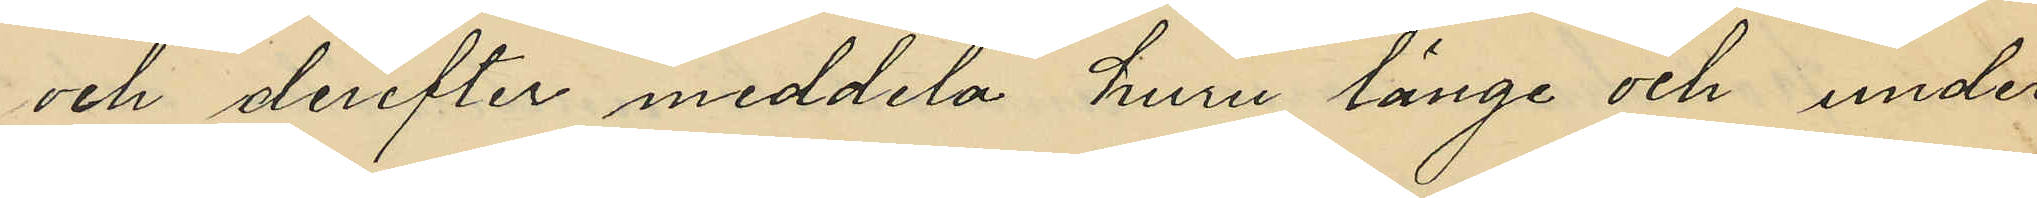och derefter meddela huru länge och under
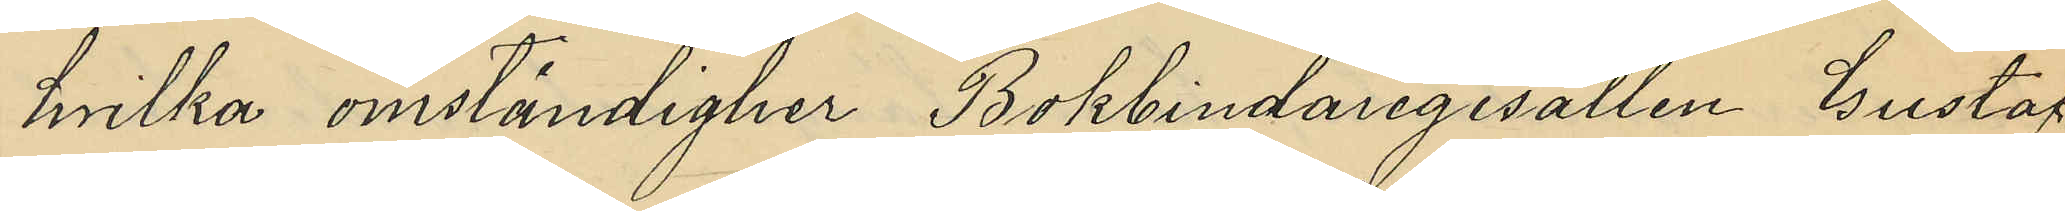hvilka omständigheter Bokbindaregesällen Gustaf
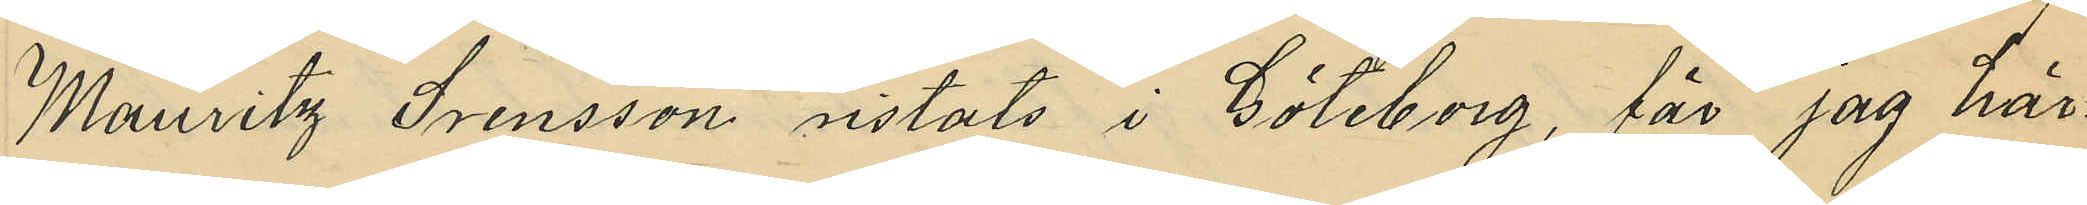Mauritz Svenssons vistats i Göteborg, får jag här¬
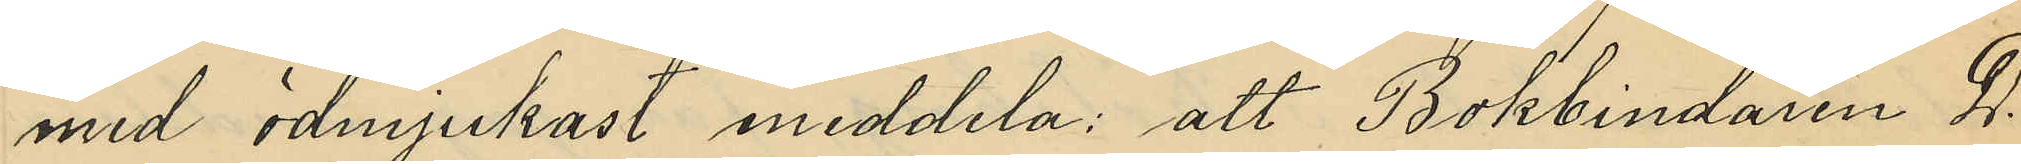med ödmjukast meddela att Bokbindaren D.
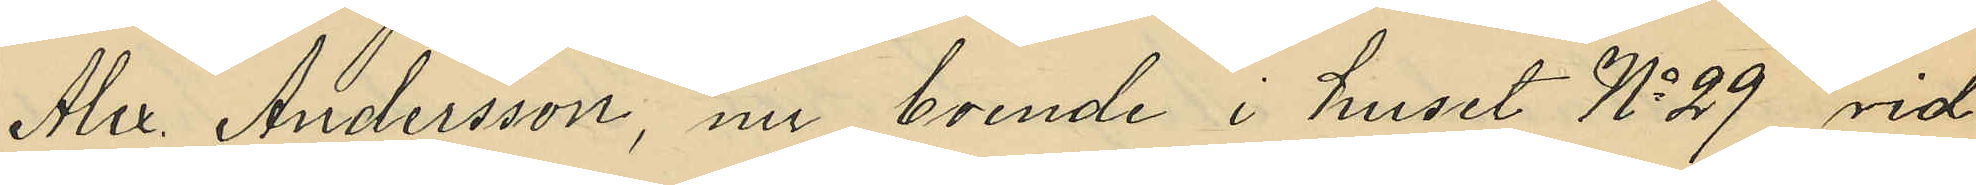Alex. Andersson, nu boende i huset No 29 vid
